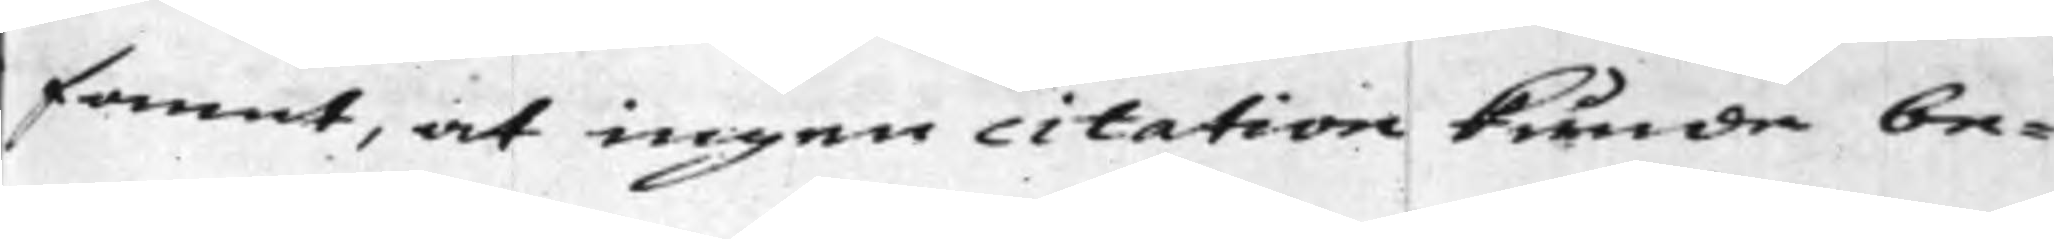fannt, at ingen citation kunde be¬
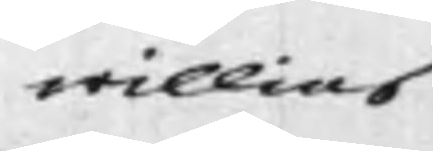willias
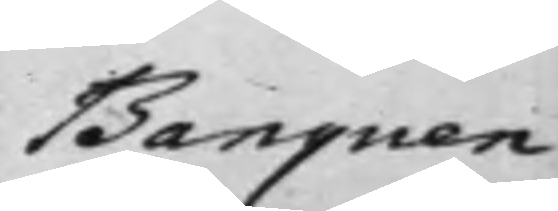Banquen
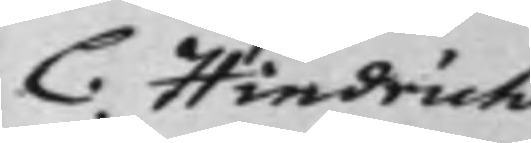C Hindrich
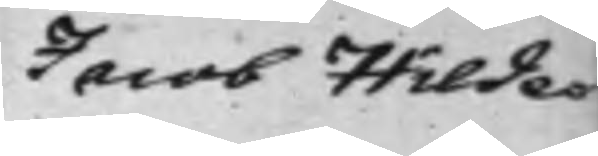Jacob Hilde¬
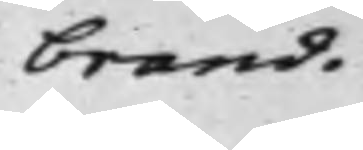brand.
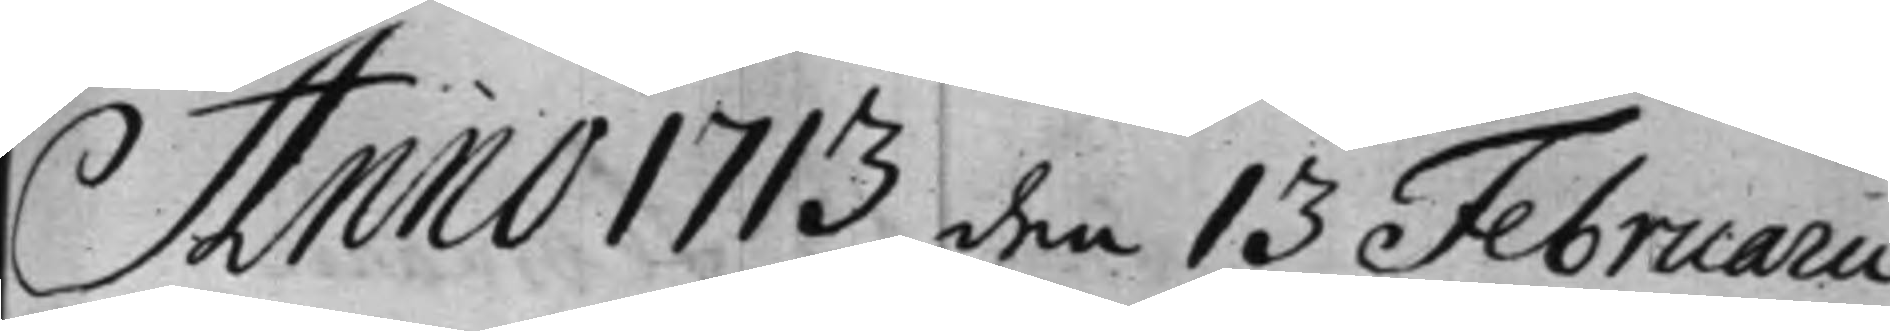Anno 1713 den 13 Februarii
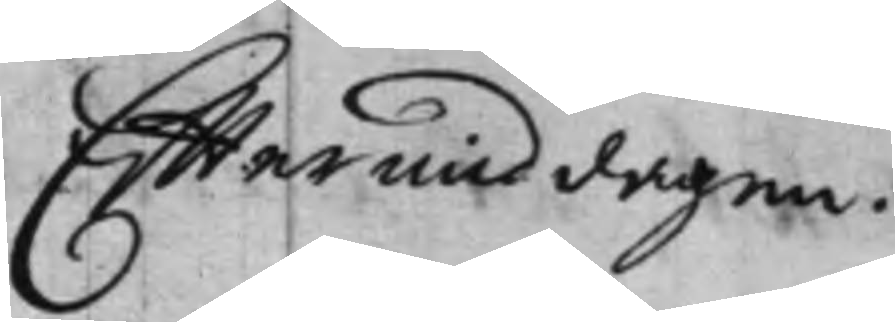Eftermiddagen.
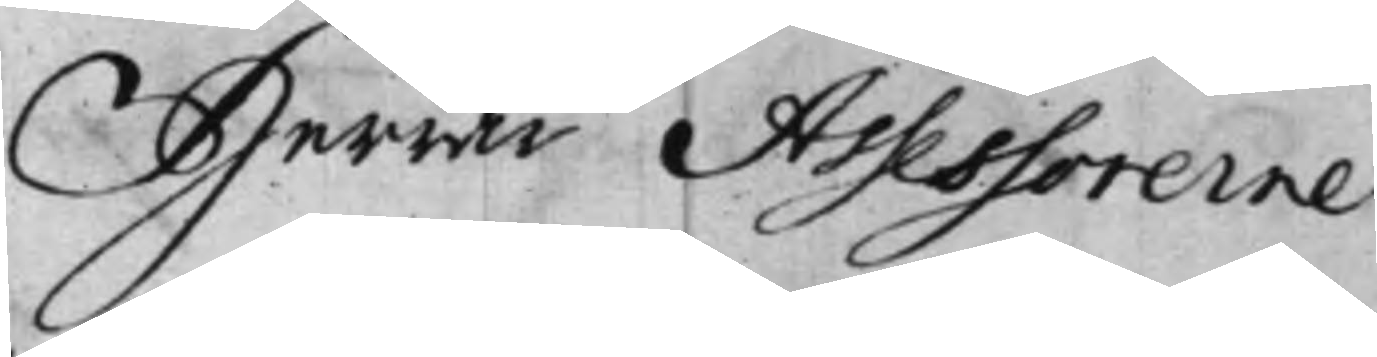Herrar Assessorerne
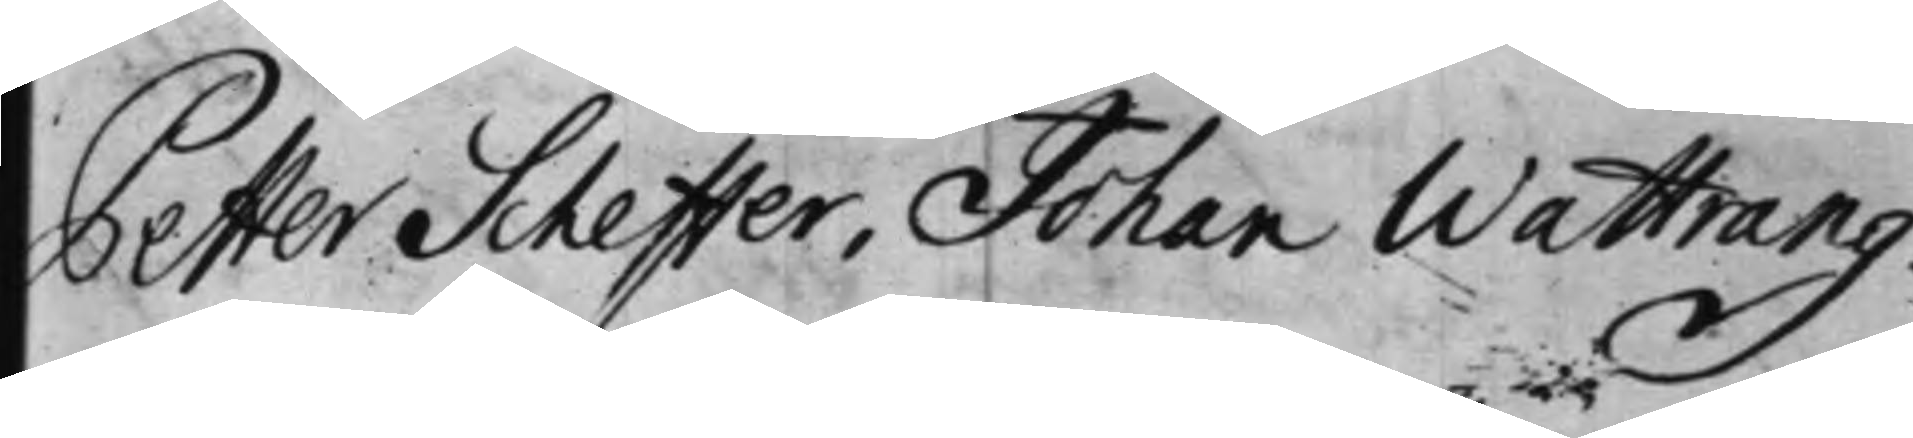Petter Scheffer, Johan Wattrang.
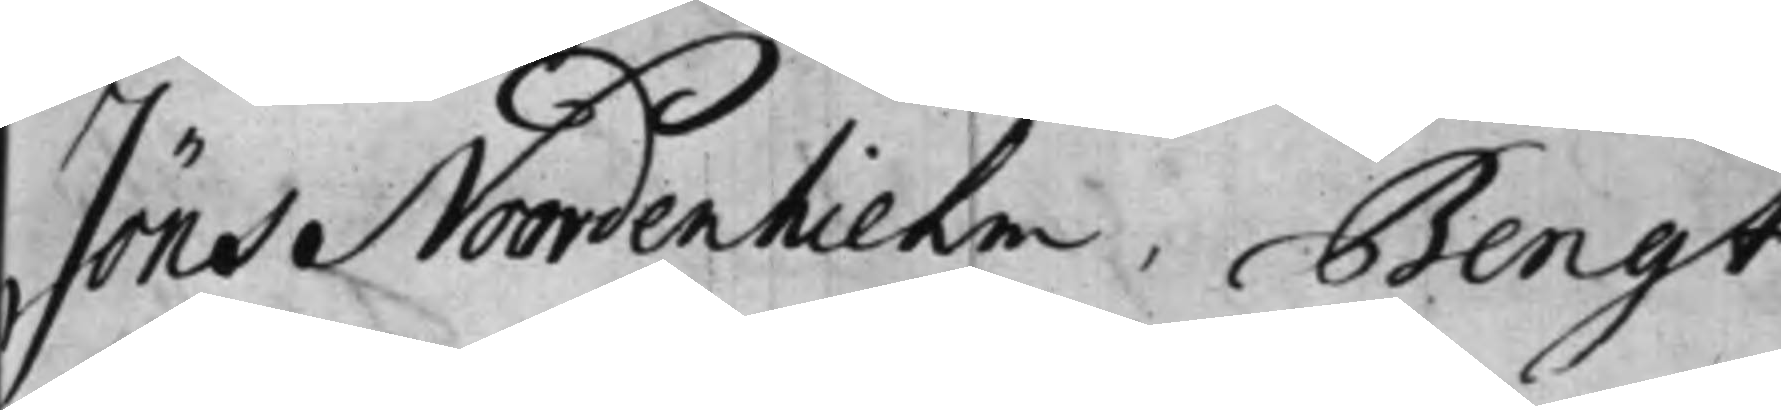Jöns Noordenhierlm, Bengt
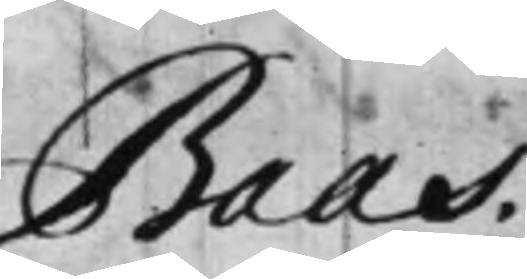Baas.
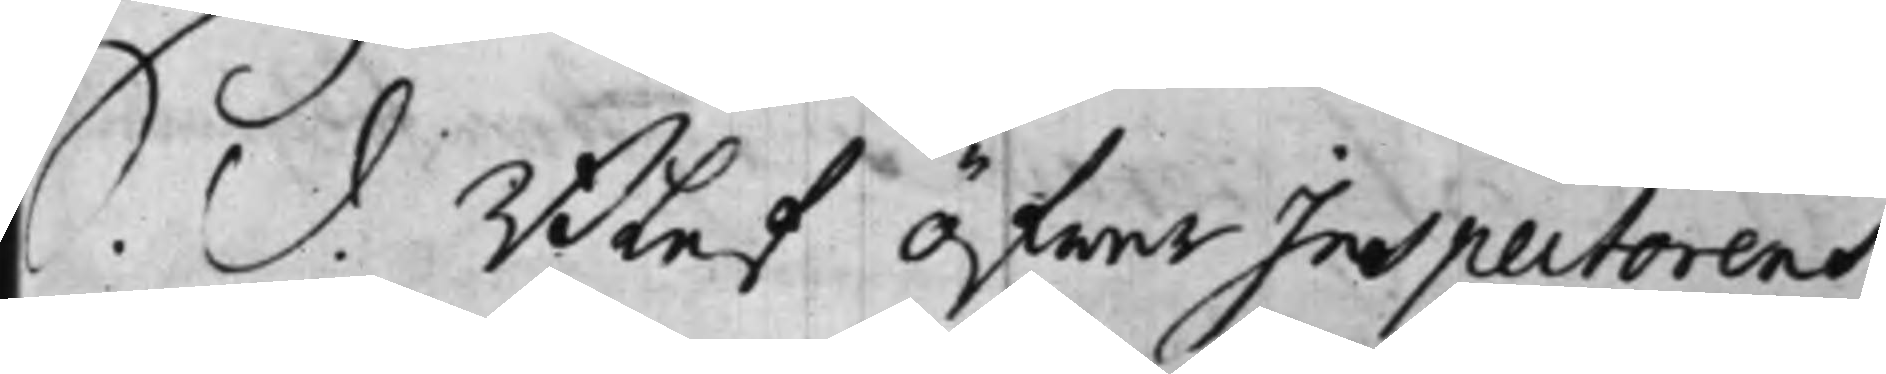S. d. Blef öfwer Inspectorens
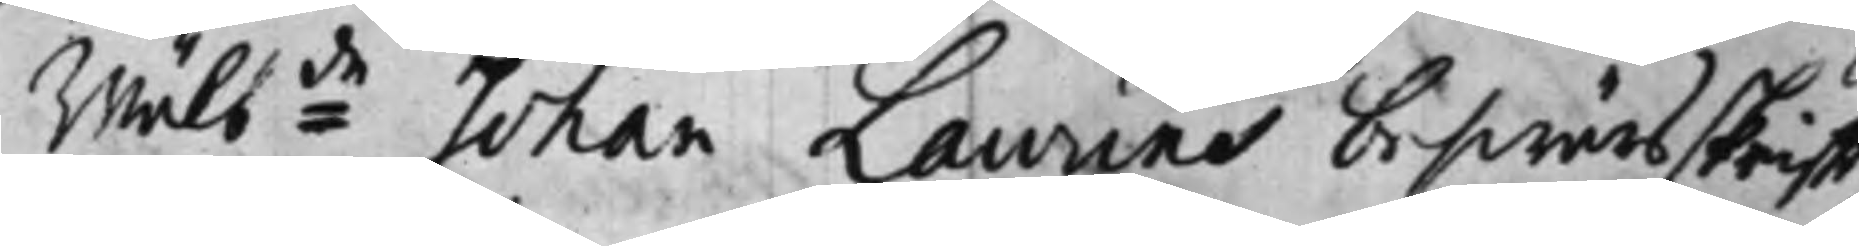Wälb:de Johan Laurins beswärsskrifft,
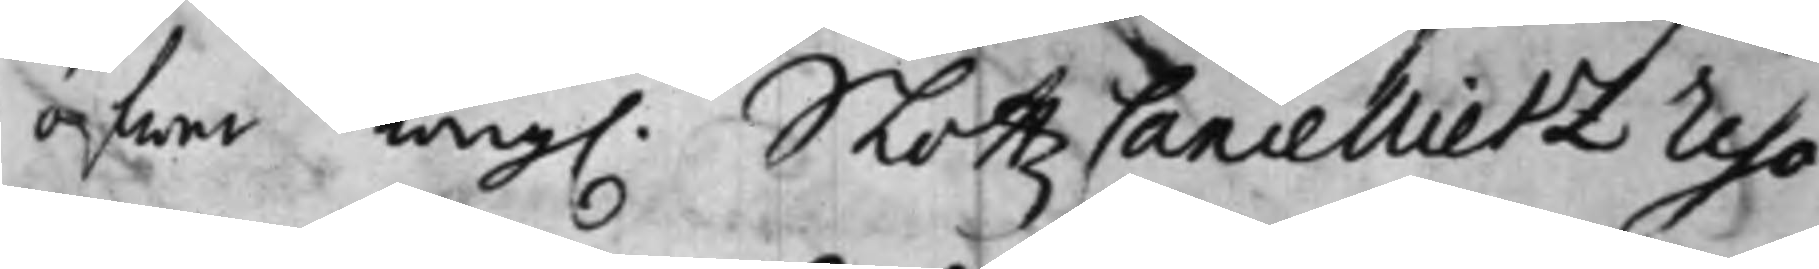öfwer Kong. SlottzCancellietz reso¬
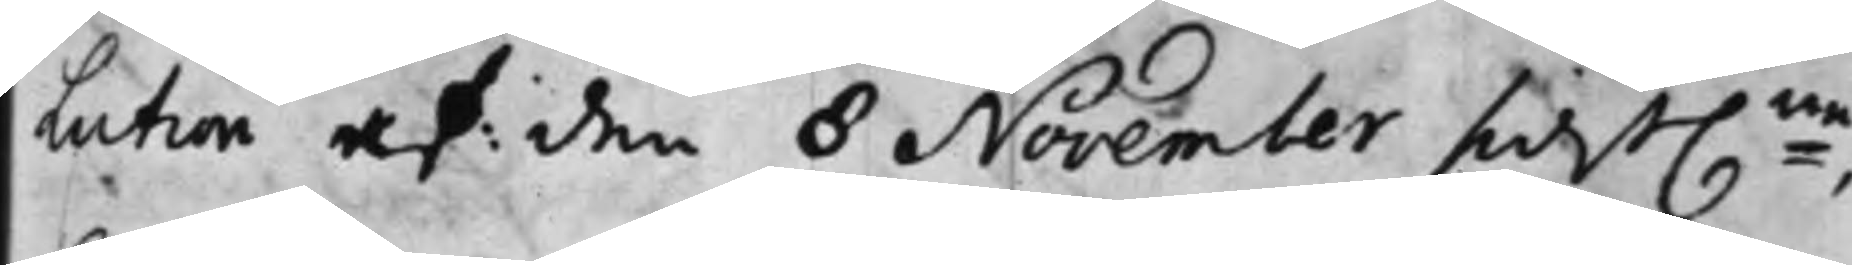Lution af den 8 November sidst:ne,
